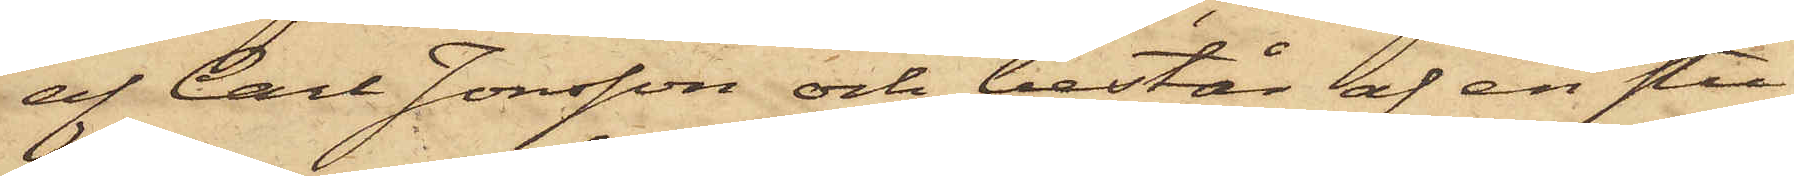af Carl Jonsson och består af en stu¬
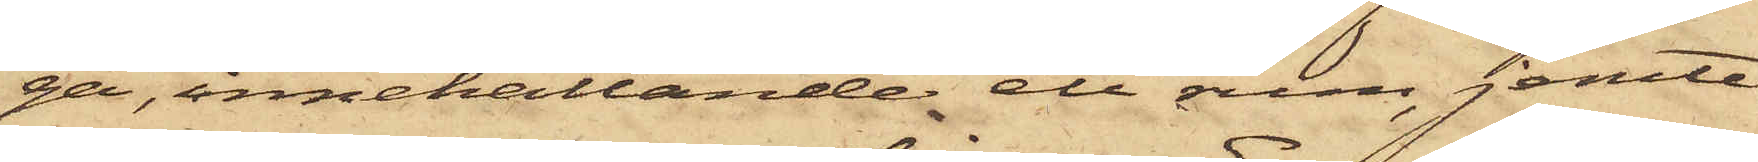ga, innehållande ett rum, jemte
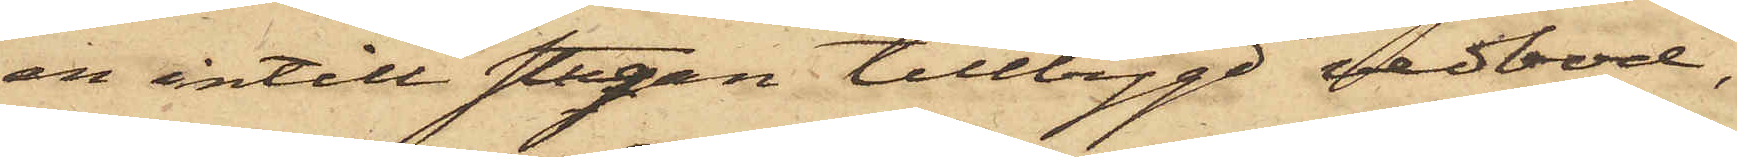en intill stugan tillbygd vedbod,
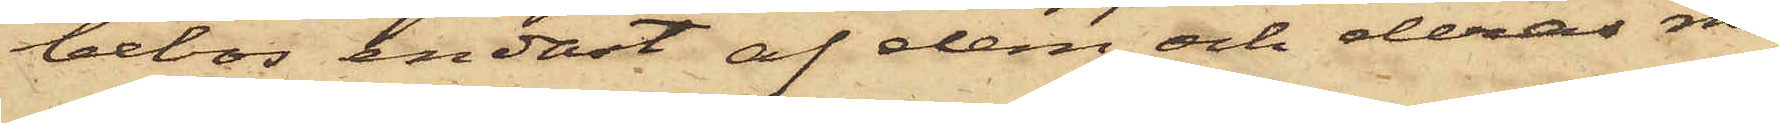bebos endast af dem och deras mo¬
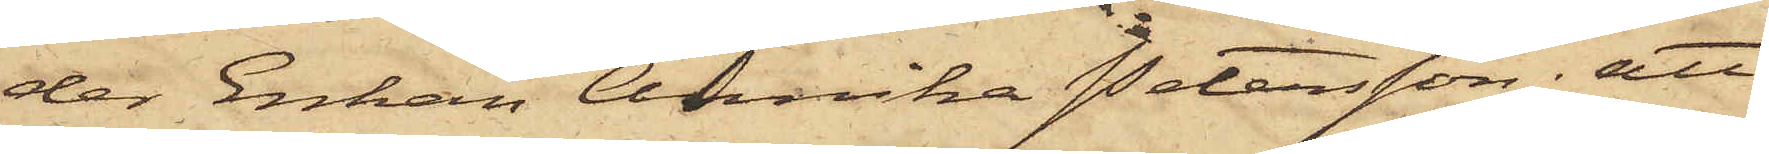der Enkan Annika Petersson; att
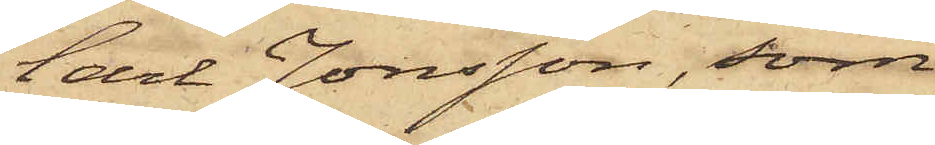Carl Jonsson, som
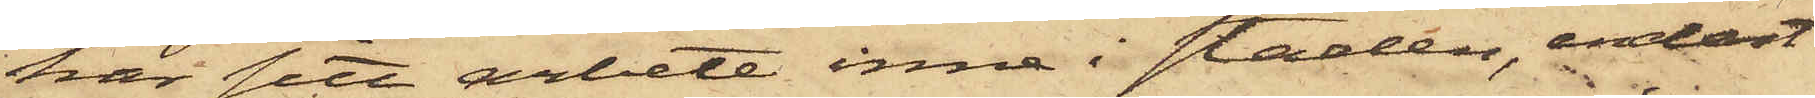har sitt arbete inne i staden, endast
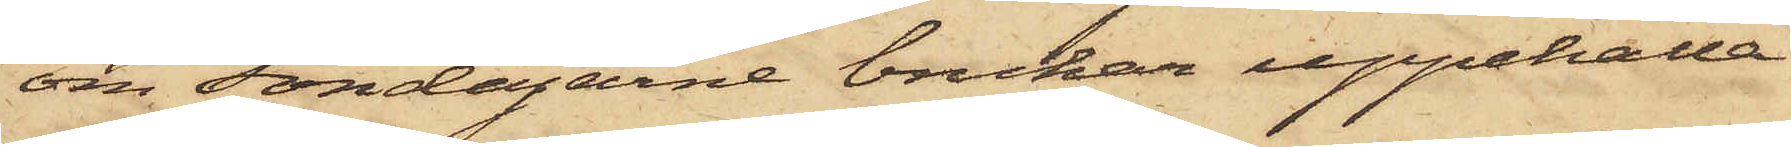om Söndagarne brukar uppehålla
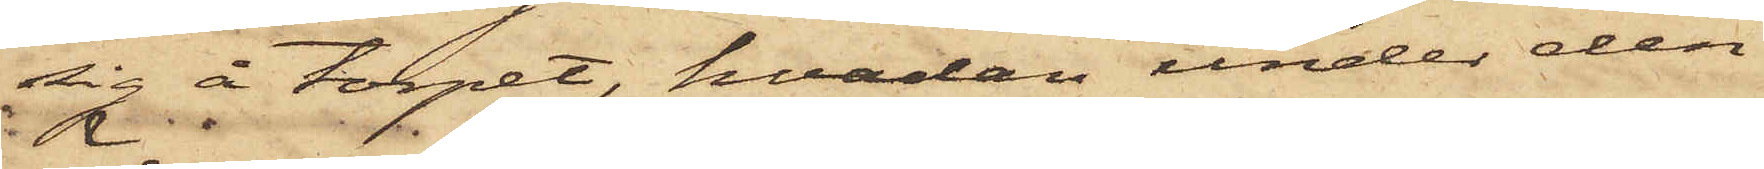sig å torpet, hvadan under den
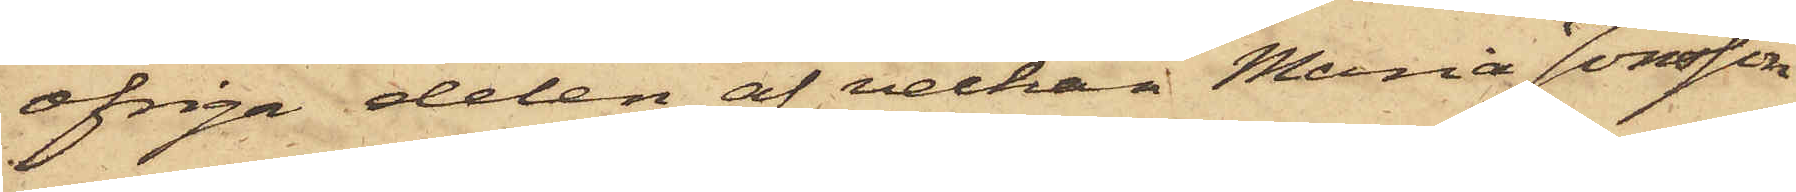öfriga delen af veckan Maria Jonsson
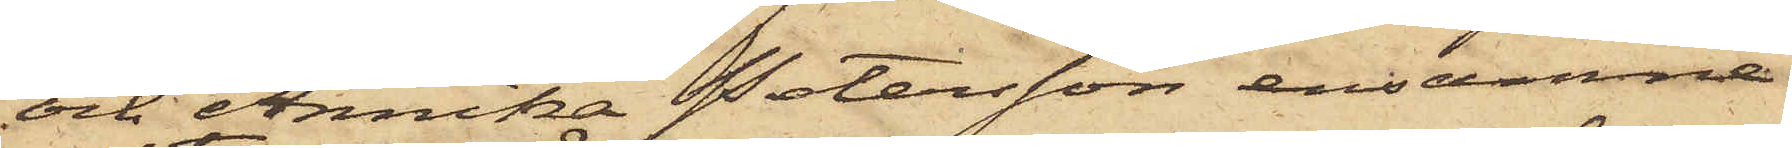och Annika Petersson ensamma
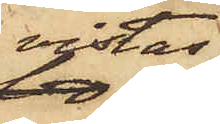vistas
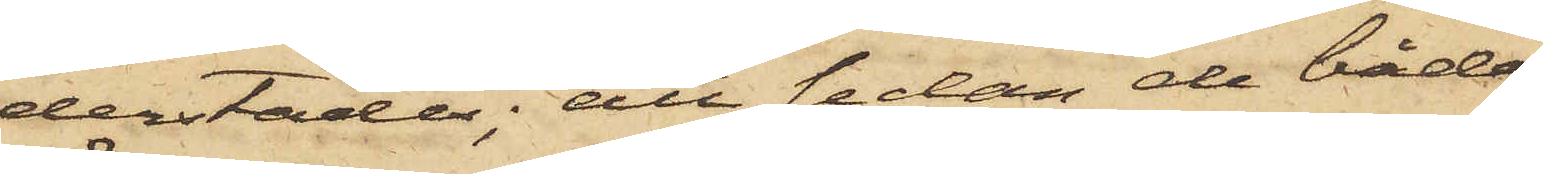derstädes; att sedan de båda
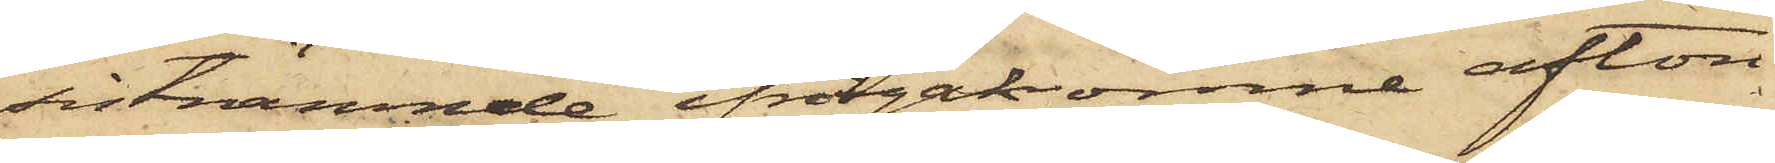sistnämnde ifrågakomne afton
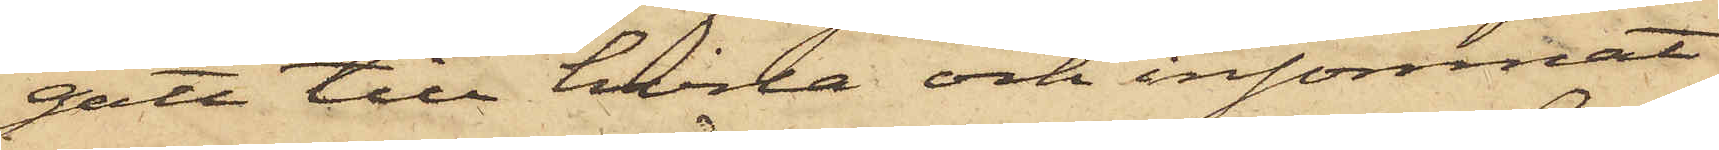gått till hvila och insomnat
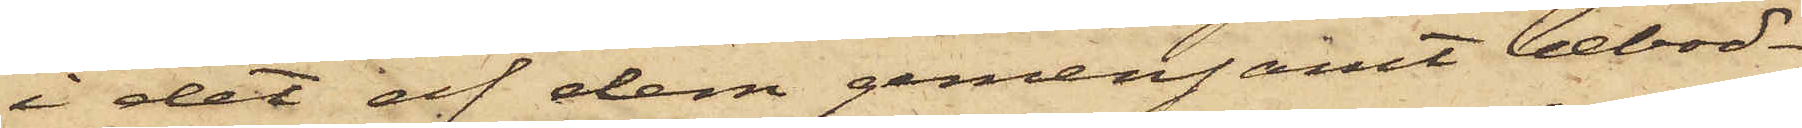i det af dem gemensamt bebod¬
